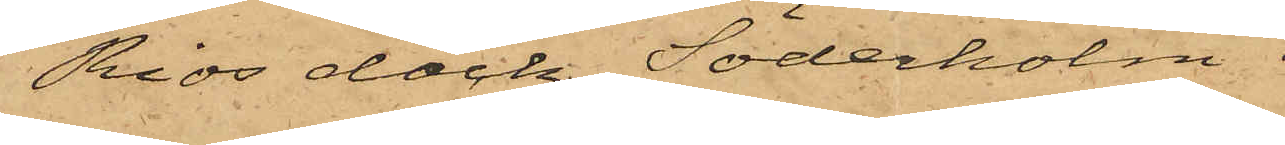Rios däck, Söderholm
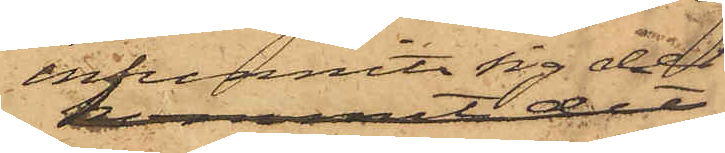infunnit sig der
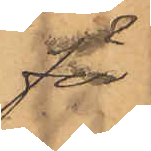för
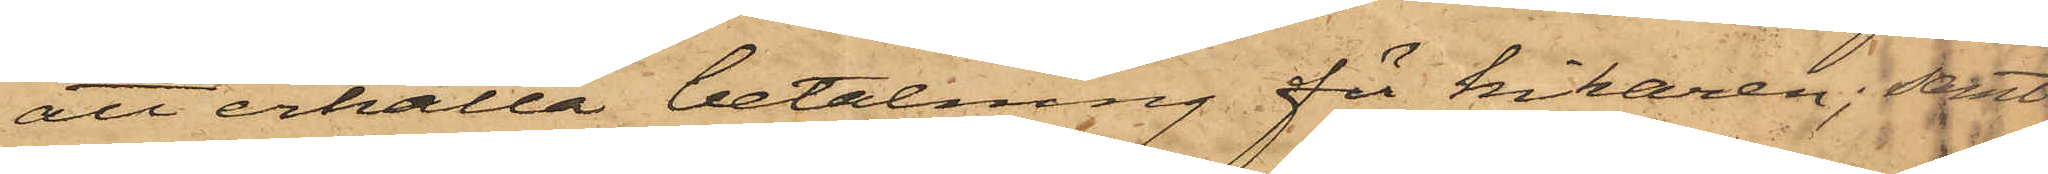att erhålla betalning för kikaren; samt
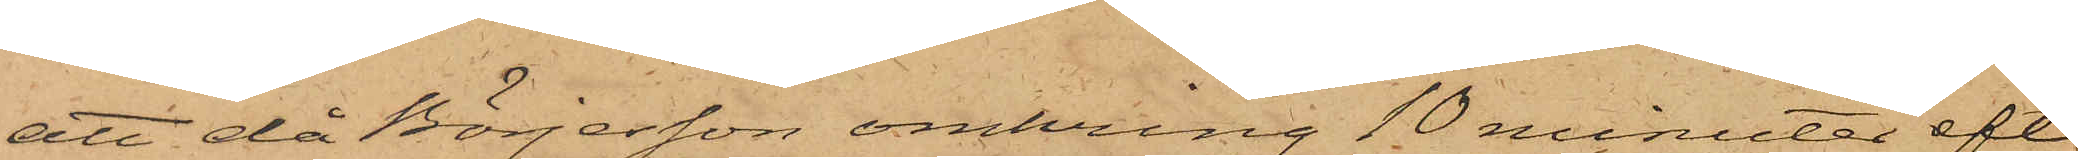att då Börjesson omkring 10 minuter efte
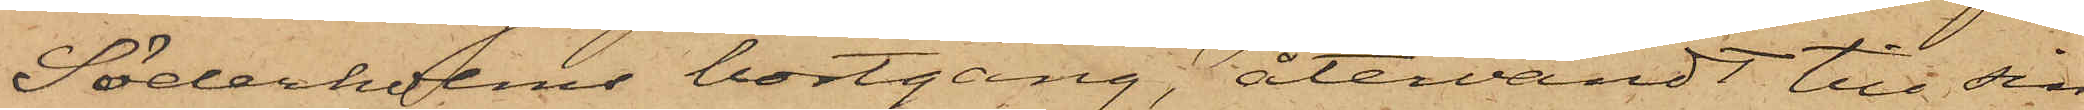Söderholms bortgång, återvändt till sin
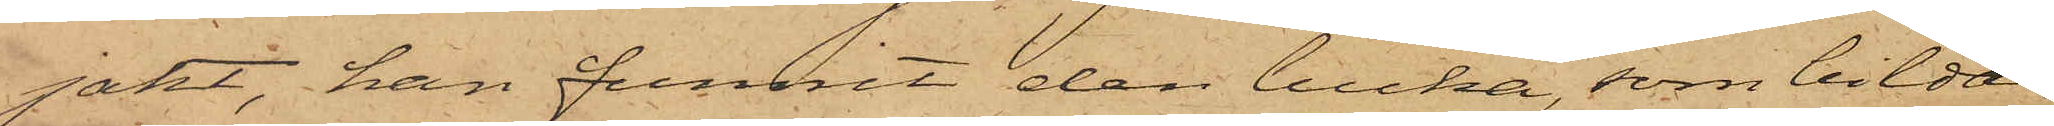jakt, han funnit den lucka, som bildar
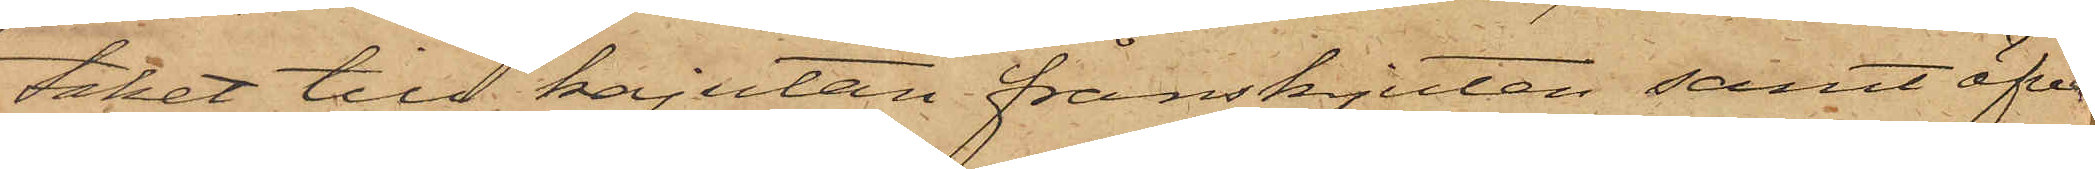taket till kajutan frånskjuten samt öfve 
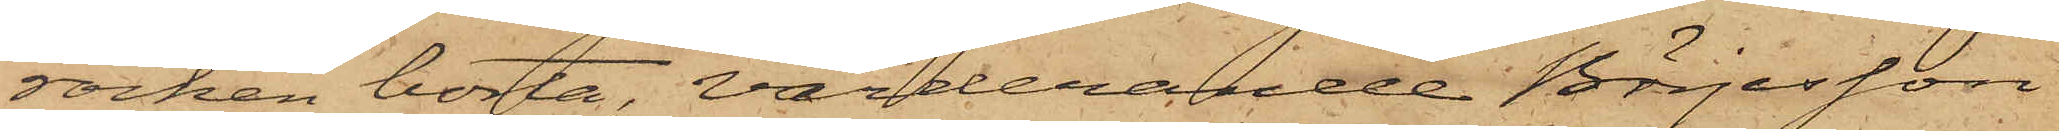rocken borta; värderande Börjesson
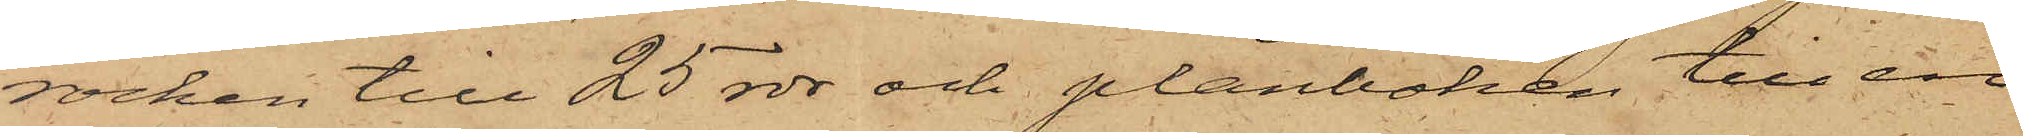rocken till 25 rdr och plånboken till en
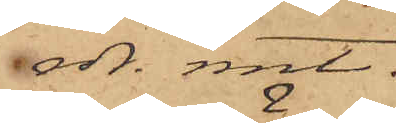rdr. rmt.
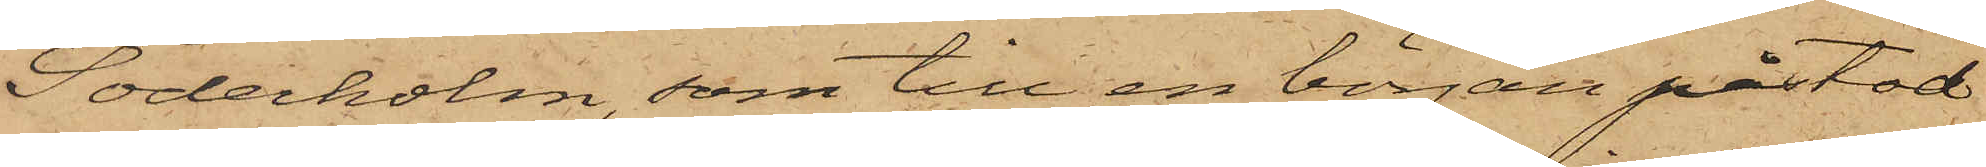Söderholm, som till en början påstod
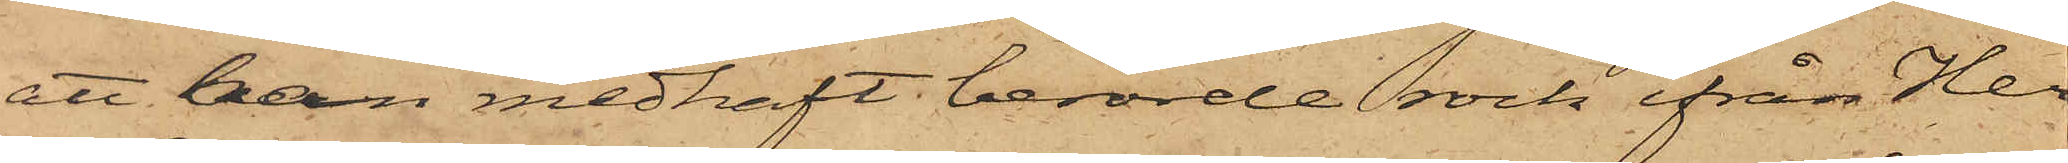att han medhaft berörde rock ifrån Her¬
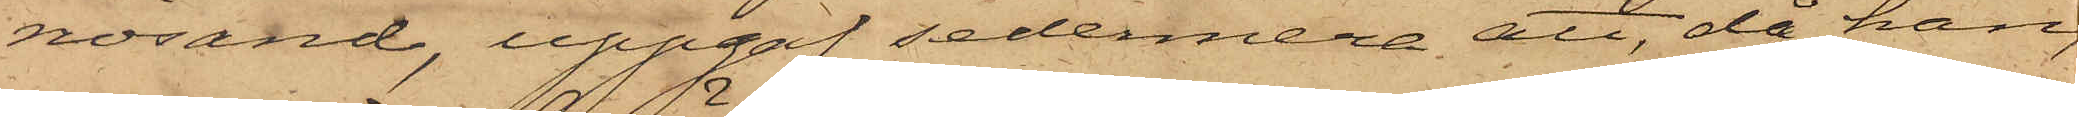nösand, uppgaf sedermera att, då han,
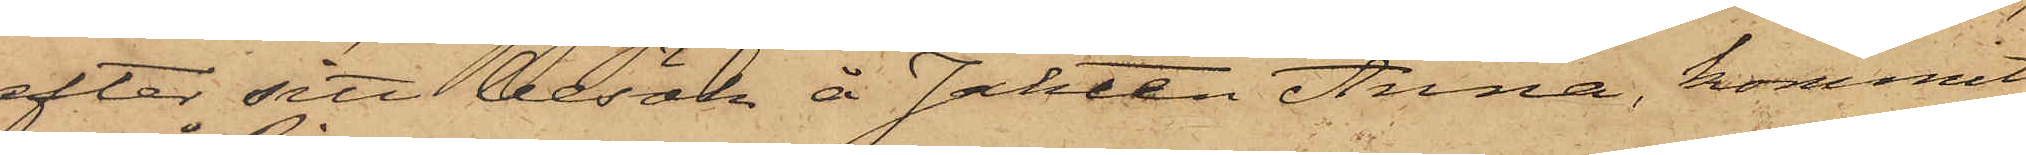efter sitt besök å Jakten Anna, kommit
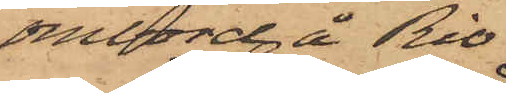ombord å Rio
